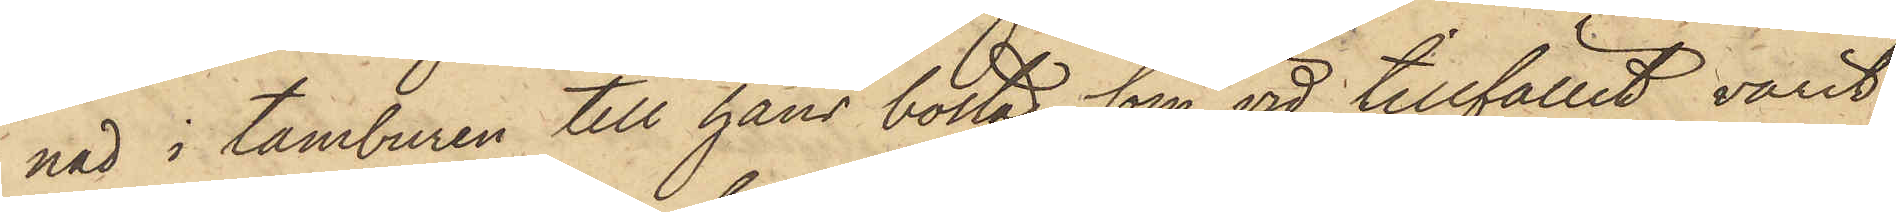nad i tamburen till hans bostad, som vid tillfället varit
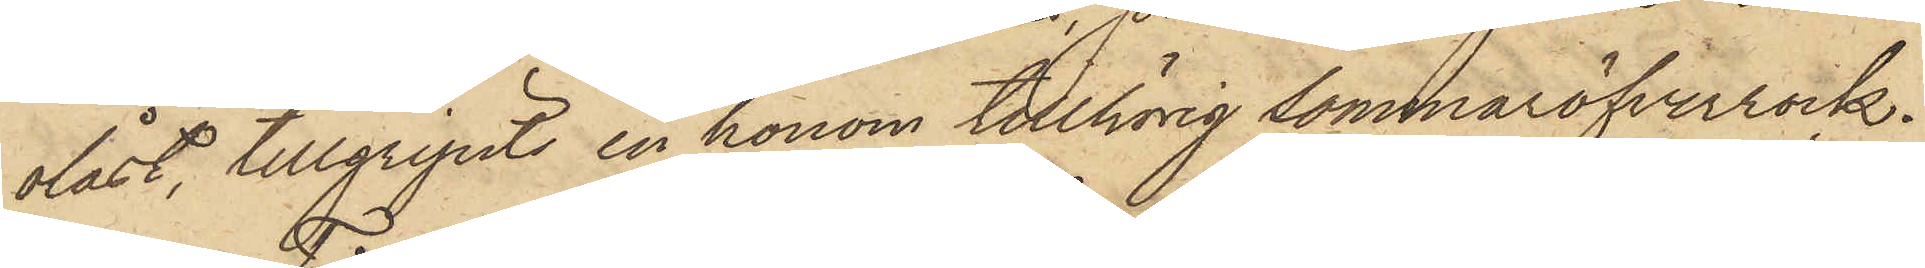olåst, tillgripits en honom tillhörig sommaröfverrock.
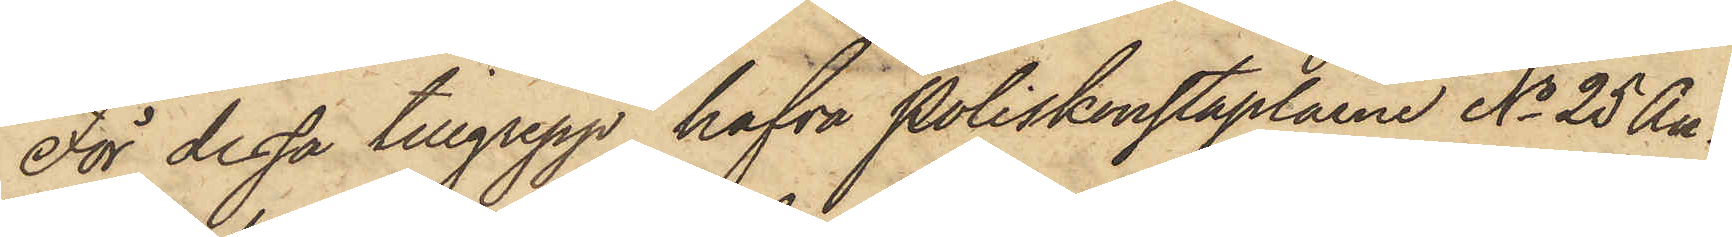För dessa tillgrepp hafva Poliskonstaplarne No 25 An¬
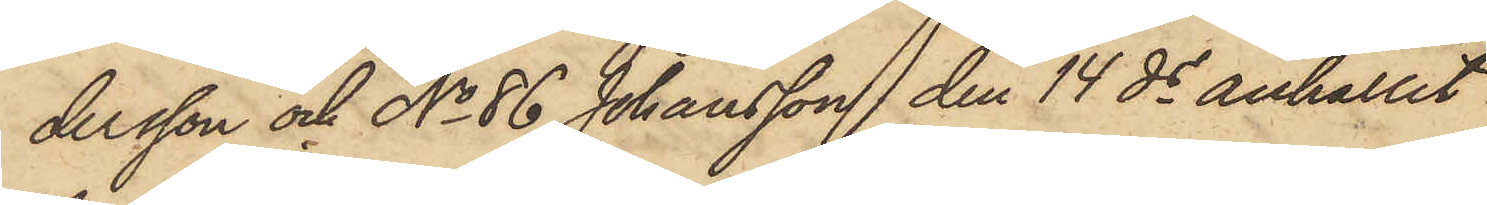dersson och No 86 Johansson den 14 ds anhållit
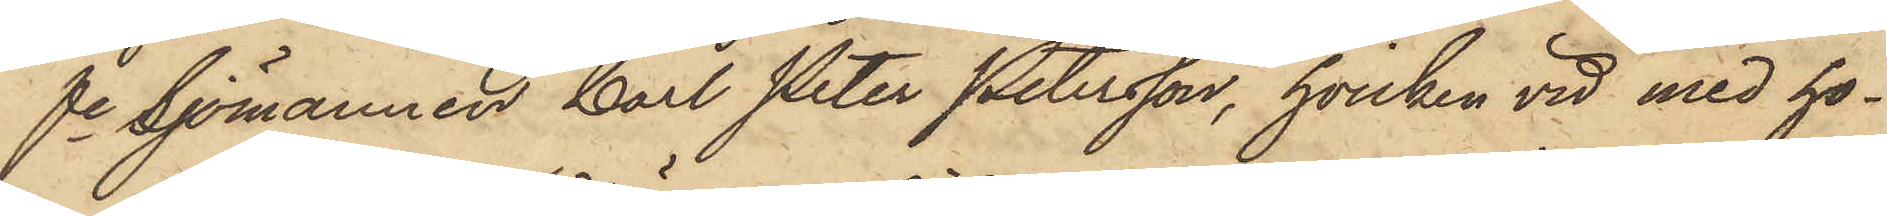fe Sjömannen Carl Peter Petersson, hvilken vid med ho¬
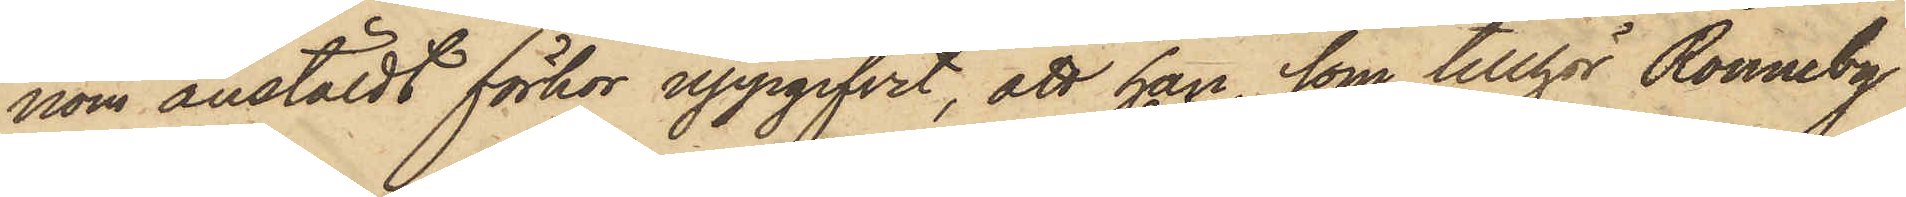nom anstäldt förhör uppgifvit, att han, som tillhör Ronneby
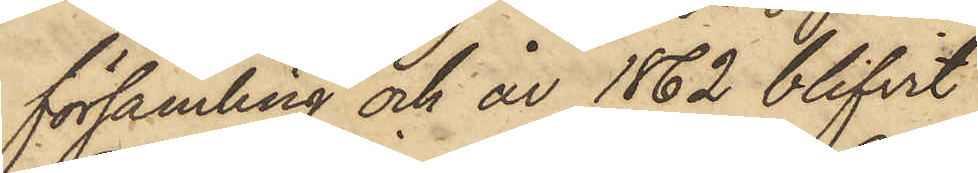församling och år 1862 blifvit
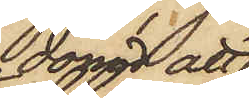dömd att
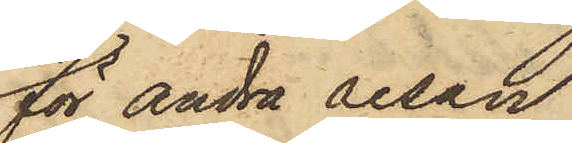för andra resan
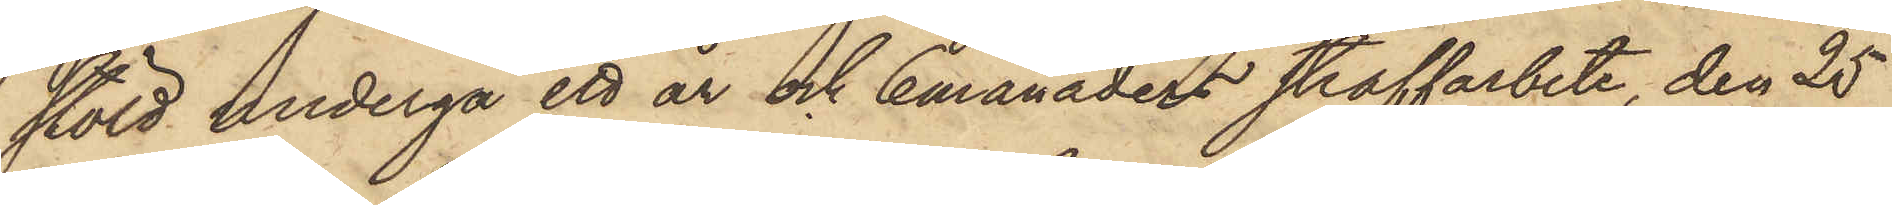stöld undergå ett år och 6 månaders straffarbete, den 25
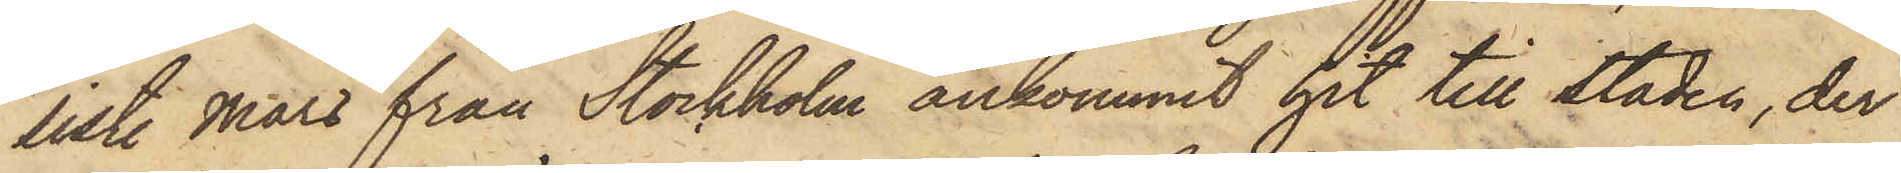sist. Mars från Stockholm ankommit hit till staden, der
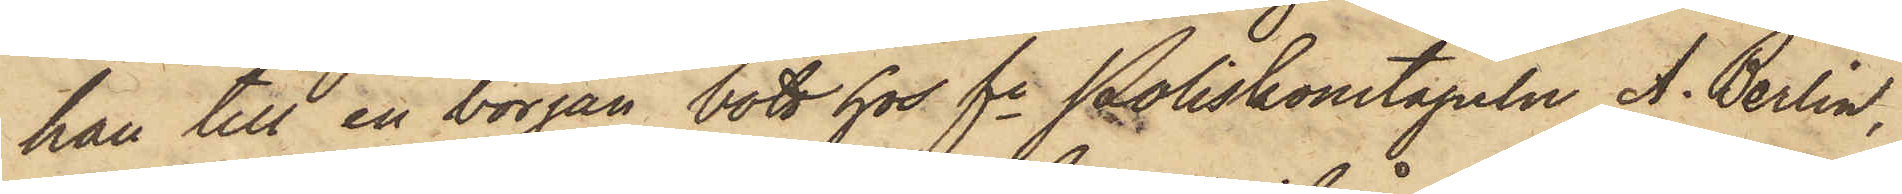han till en början bott hos fe Poliskonstapeln A. Berlin,
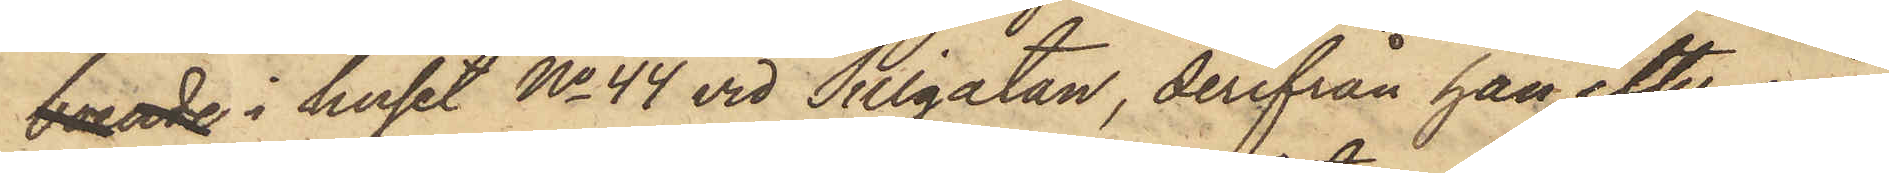boende i huset No 44 vid Sillgatan, derifrån han efter nå¬
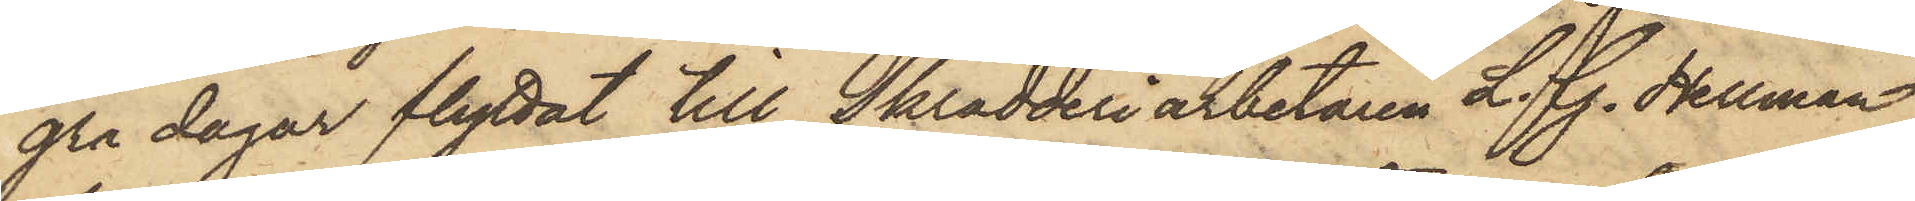gra dagar flyttat till Skrädderiarbetaren L. G. Hellman,
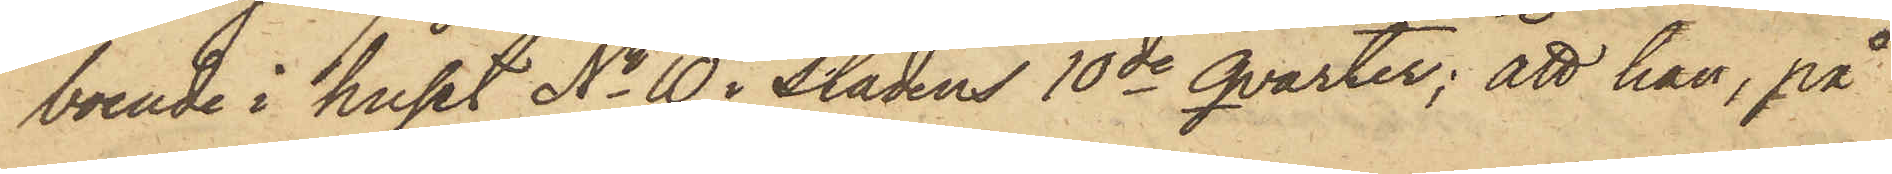boende i huset No 10 i Stadens 10de qvarter; att han, på
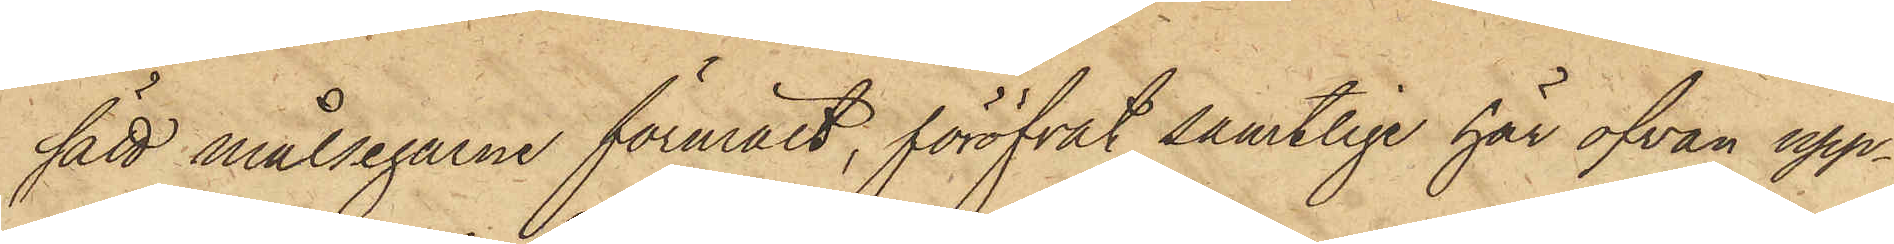sätt målsegarne förmält, föröfvat samtlige här ofvan upp¬
